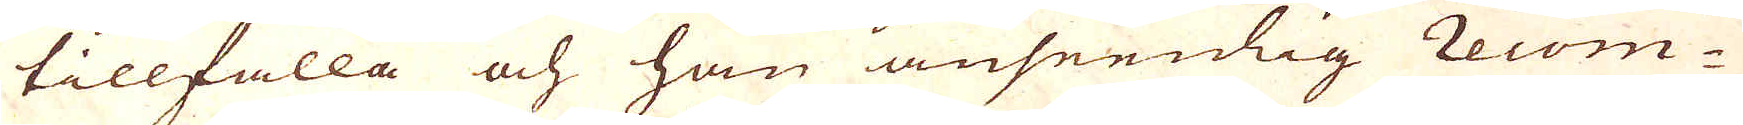tillfalla och han anseenlig Recom-
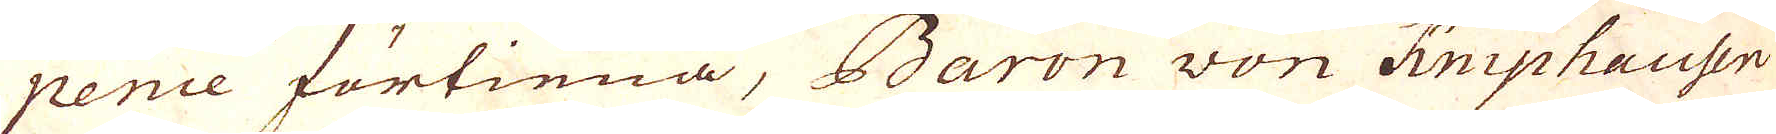pence förtiena, Baron won Kniphausen
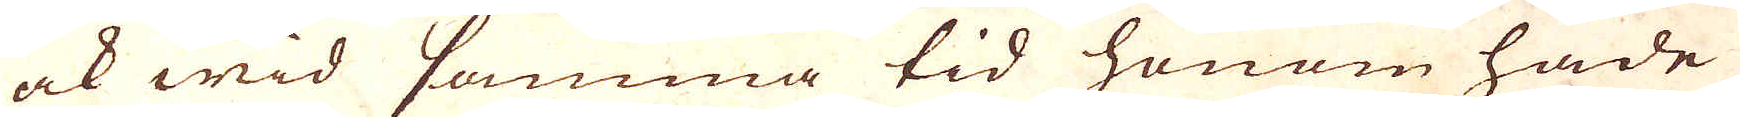ock wid samma tid honom hade
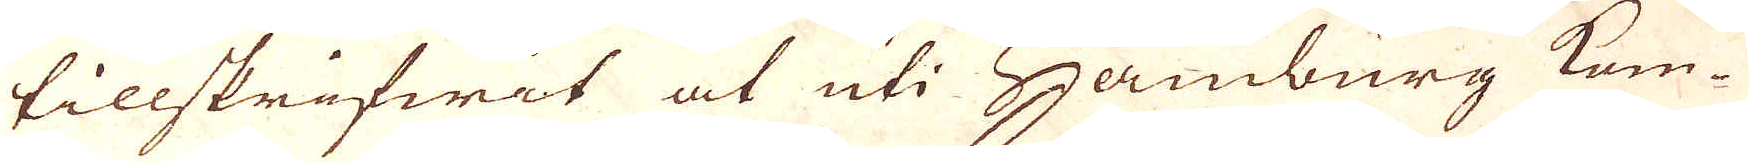tillskrifwit at uti Hamburg kom-
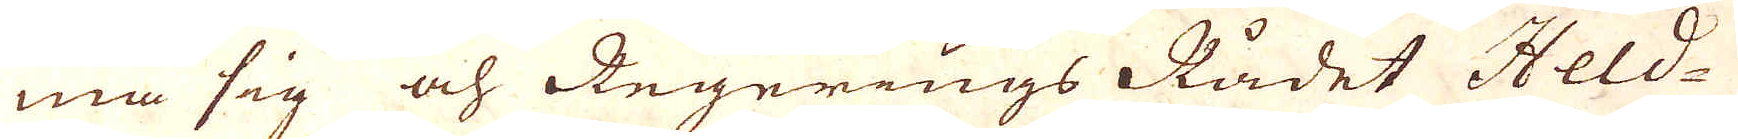ma sig och Regerings Rådet Held-
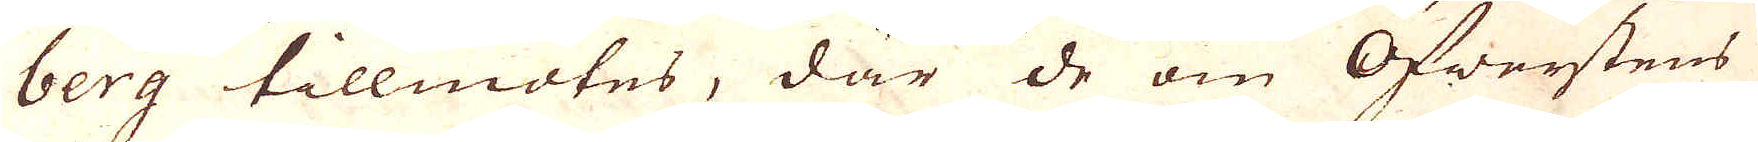berg tillmötes, där de om Öfwerstens
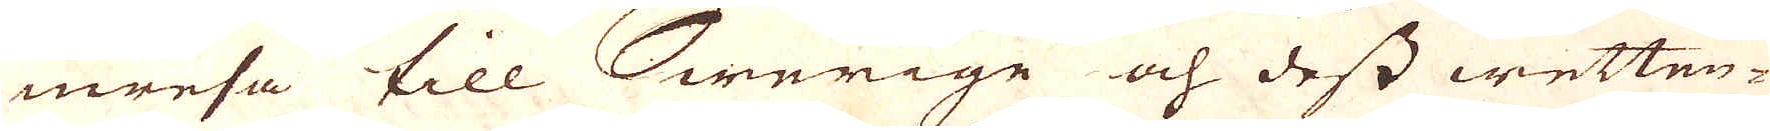inresa till Swerige och dess wetten-
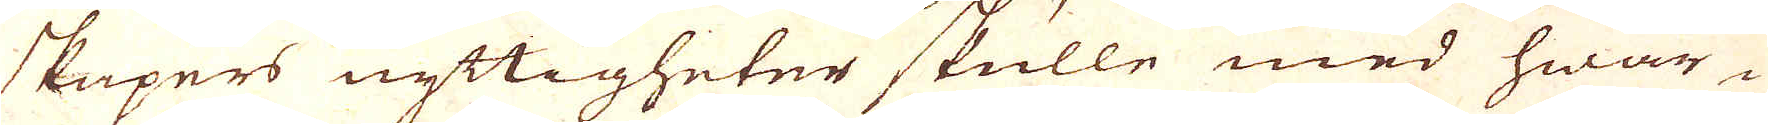skapers nyttigheter skulle med hwar-
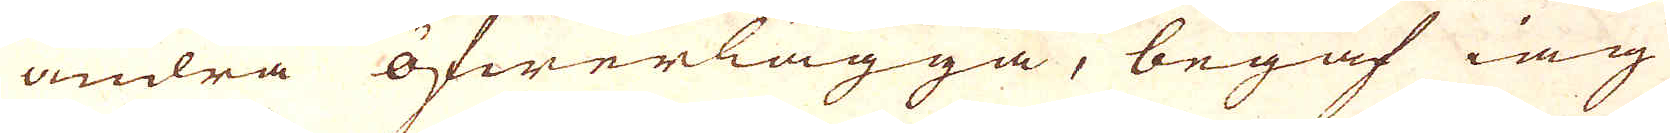andra öfwerlägga, begaf iag
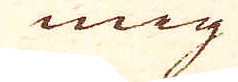mig
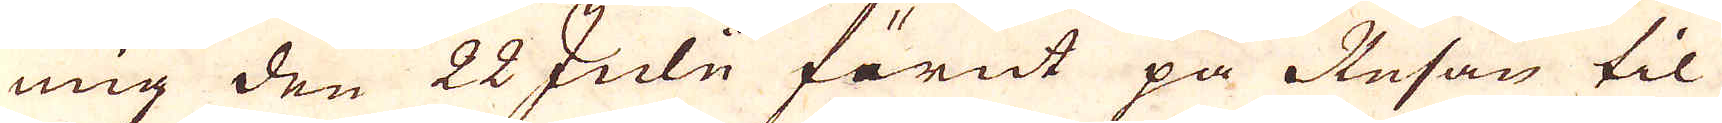mig den 22 Julii förut på Resan til
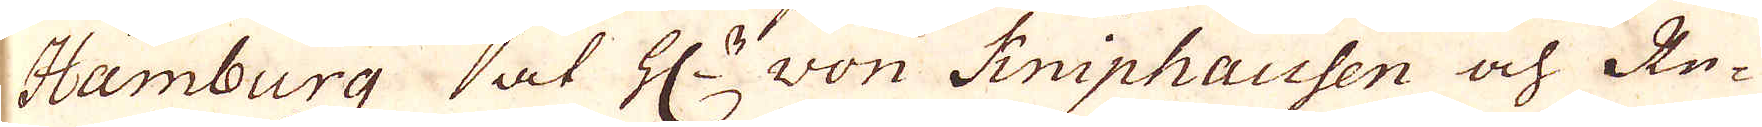Hamburg at H:r won Kniphausen och Re-
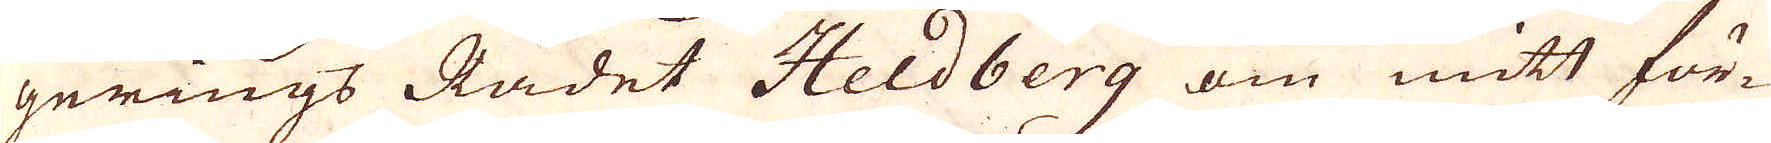gerings Rådet Heldberg om mitt för-
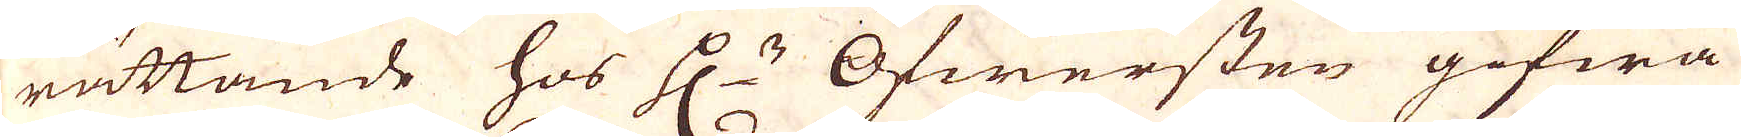rättande hos H:r Öfwersten gifwa
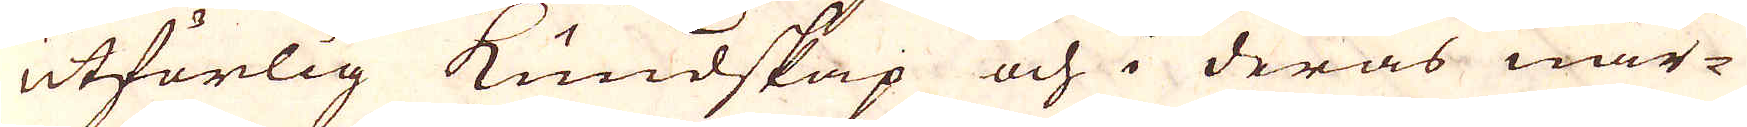utförlig Kundskap och i deras när-
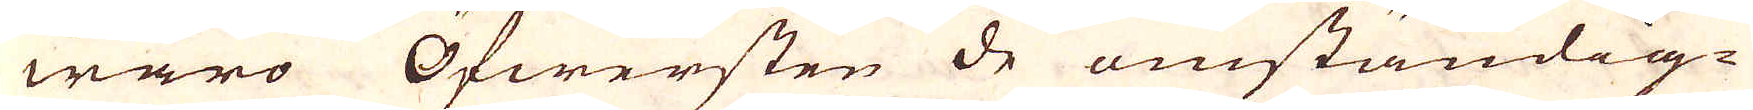waro Öfwersten de omständig-
